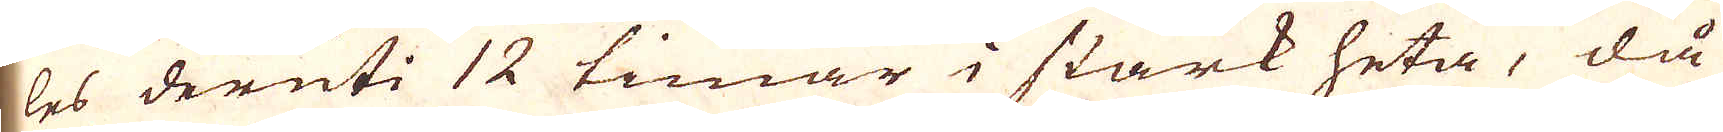les deruti 12 timar i stark heta, då
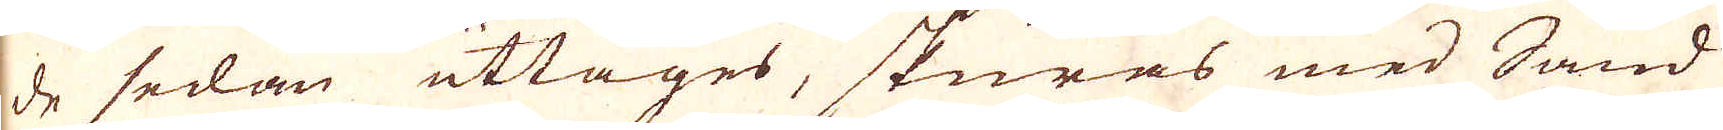de sedan uttages, skuras med Sand
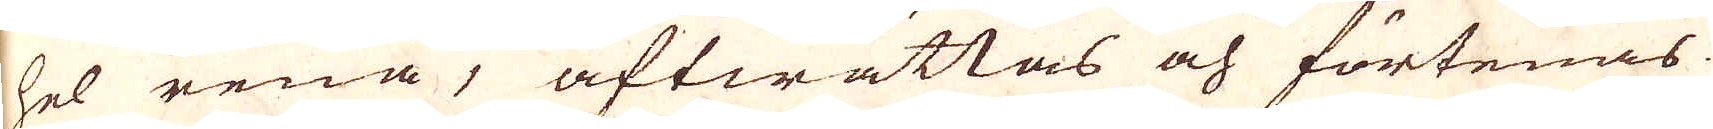hel rena, aftwättas och förtenas
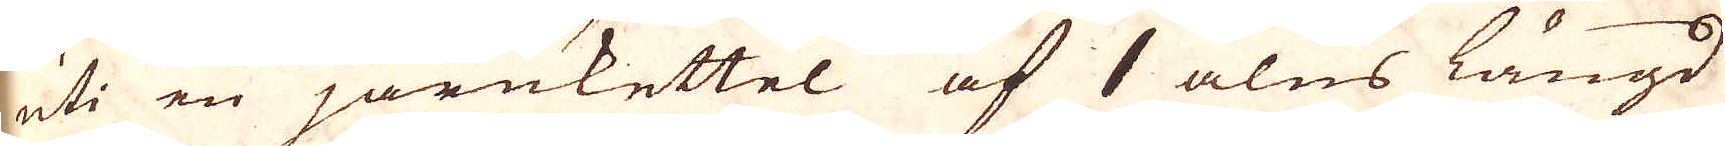uti en järnkettel af 1 alns längd
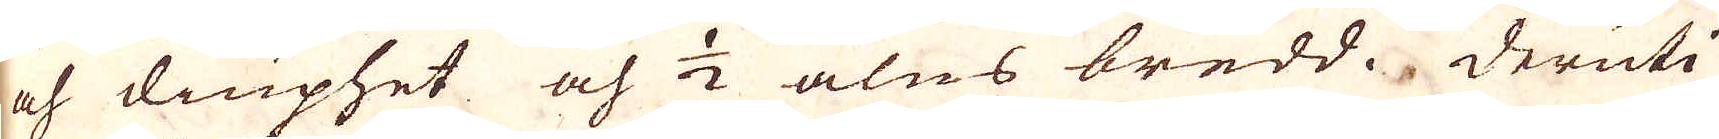och diuphet och 1/2 alns bredd. Deruti
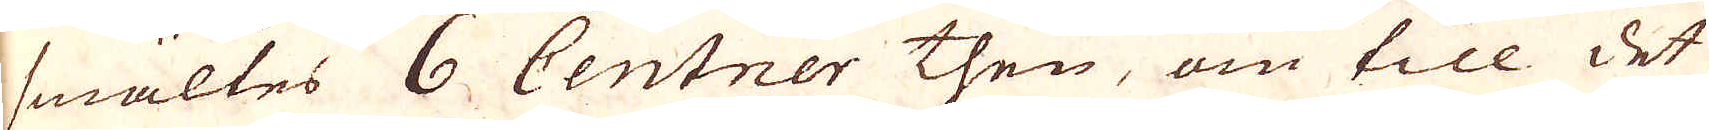smältes 6 Centner then, om till det
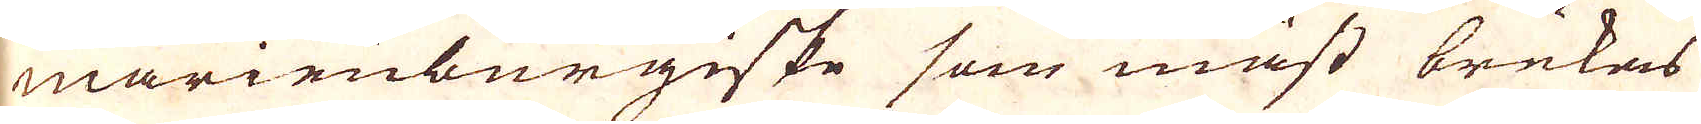marienburgiske som mäst brukas
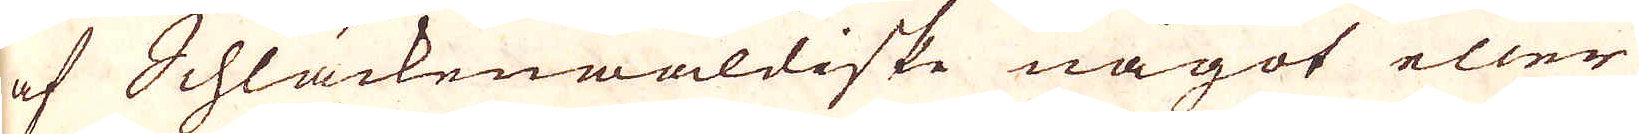af Schläckenwaldiske något eller
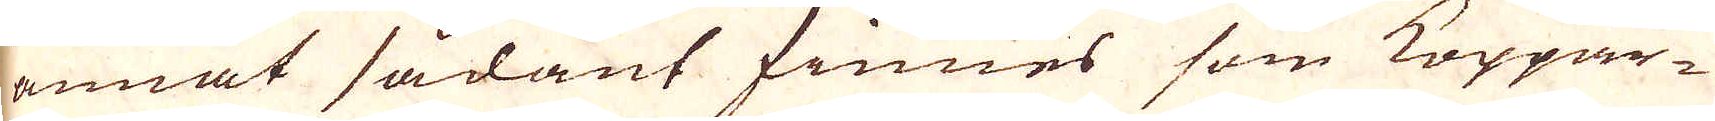annat sådant finnes som Koppar-
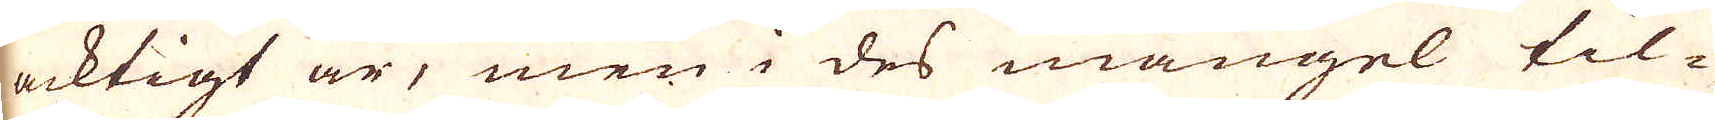acktigt är, men i des mangel til-
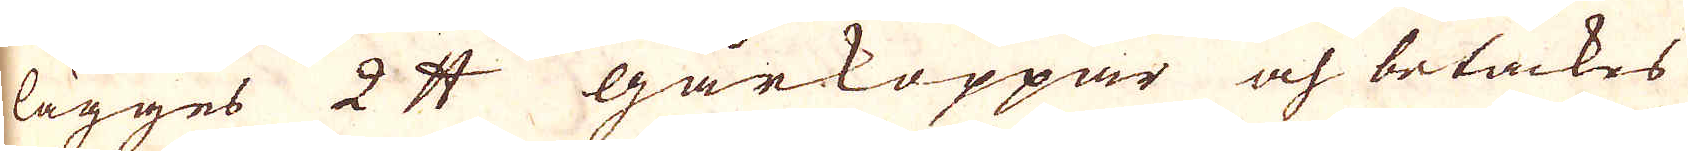lägges 2 skålpund gårkoppar och betäckes
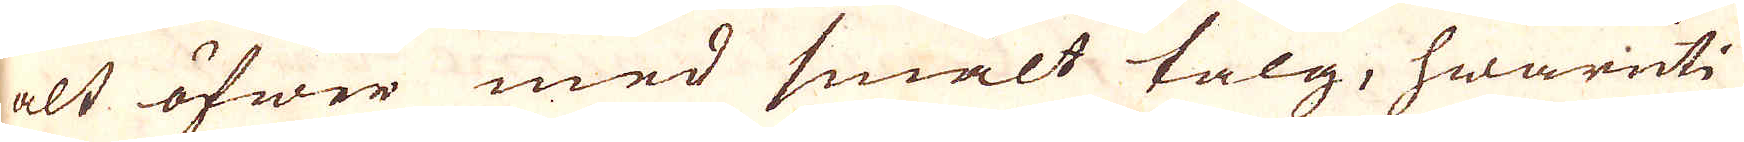alt öfwer med smält talg, hwaruti
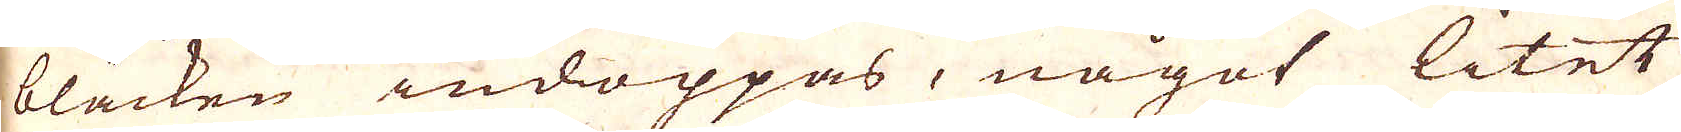bläcken indoppas, något litet
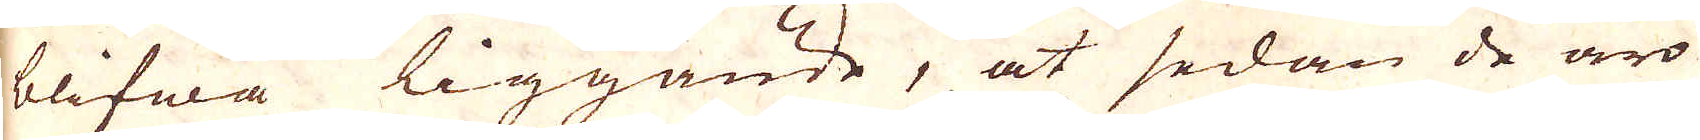blifwa liggande, at sedan de äro
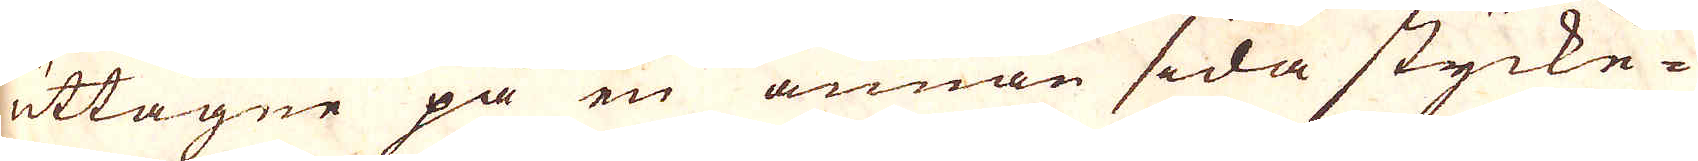uttagne på en annan sida stycke-
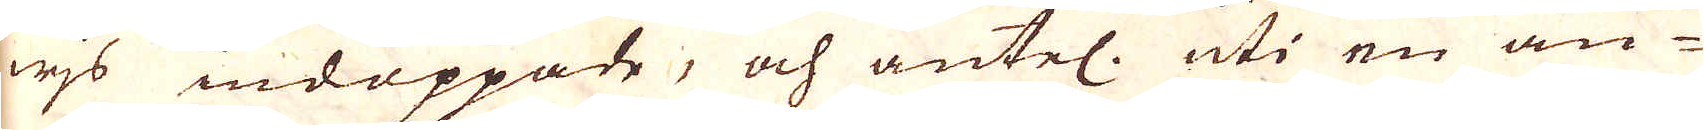wis indoppade, och äntel. uti en an-
